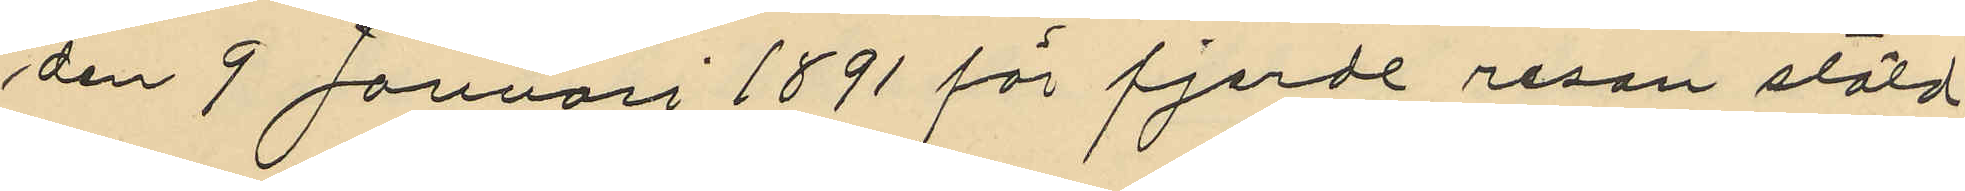den 9 Januari 1891 för fjerde resan stöld
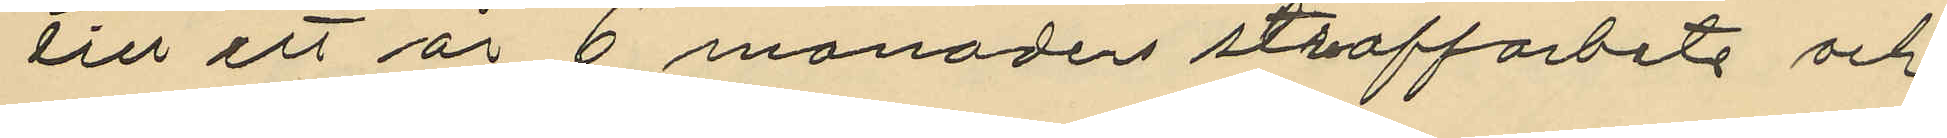till ett år 6 månaders straffarbete och
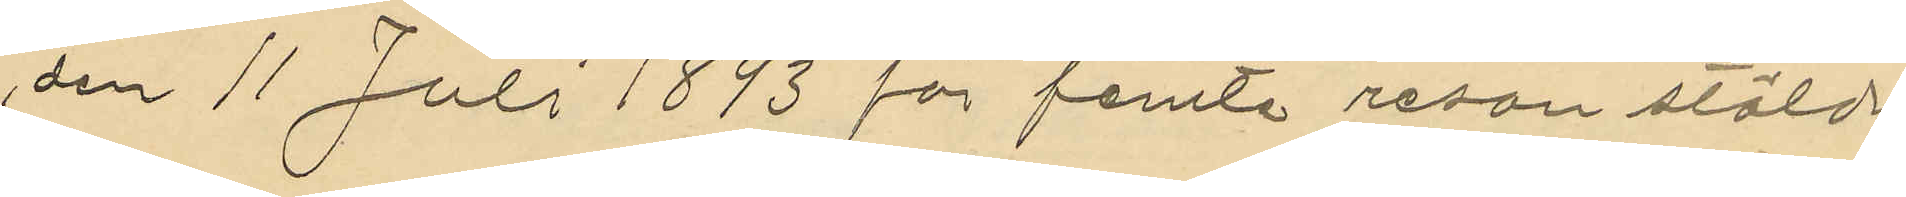den 11 Juli 1893 för femte resan stöld
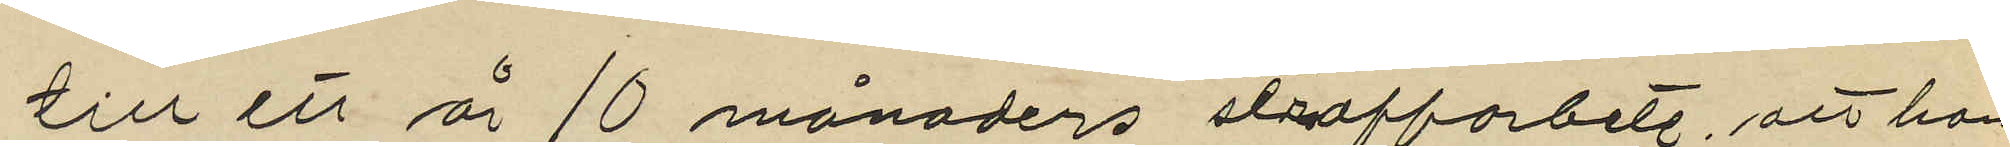till ett år 10 månaders straffarbete, att han
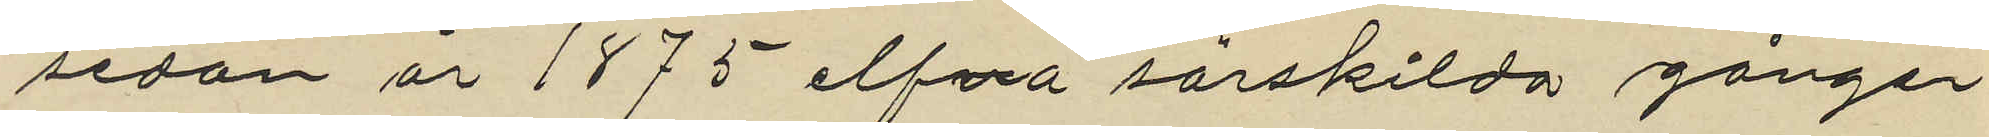sedan år 1875 elfva särskilda gånger
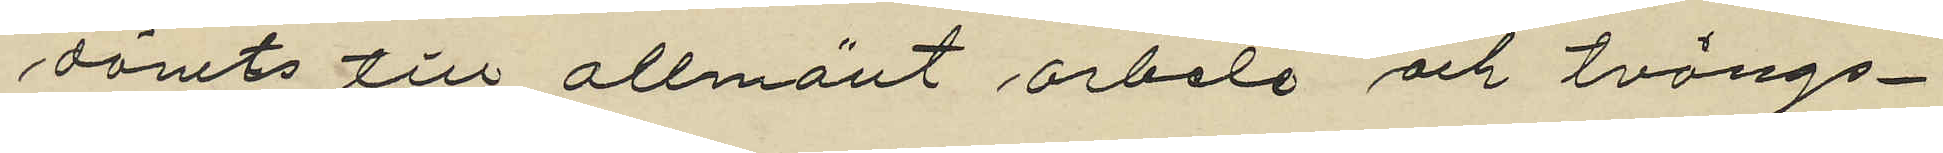dömts till allmänt arbete och tvångs¬
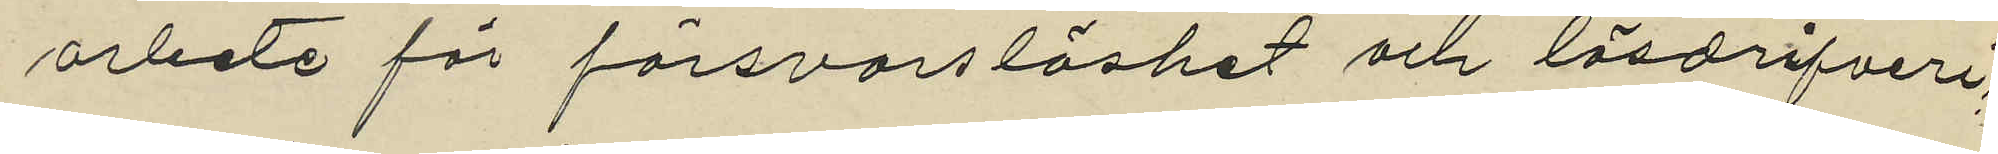arbete för försvarslöshet och lösdrifveri,
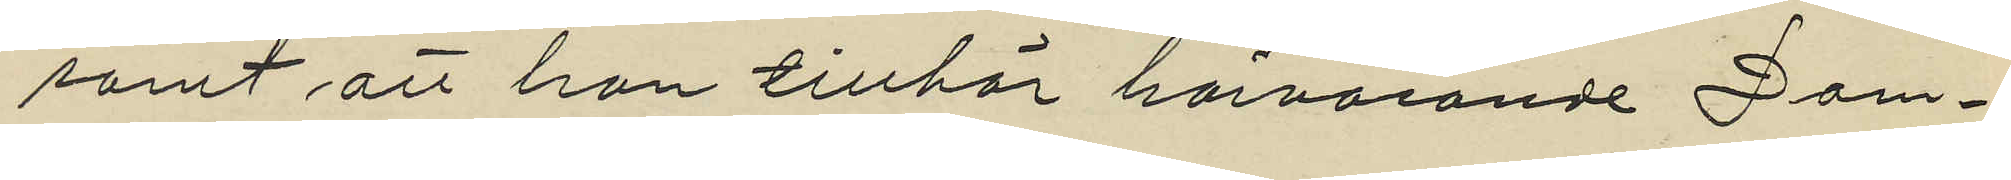samt att han tillhör härvarande Dom¬
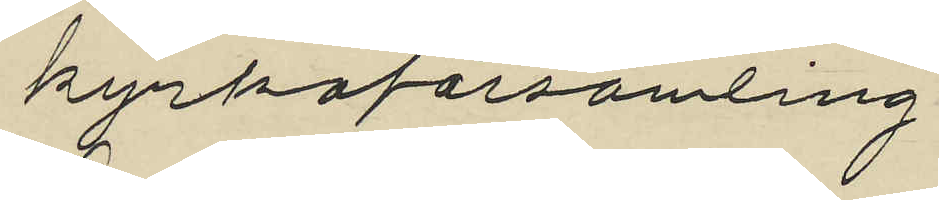kyrkoförsamling
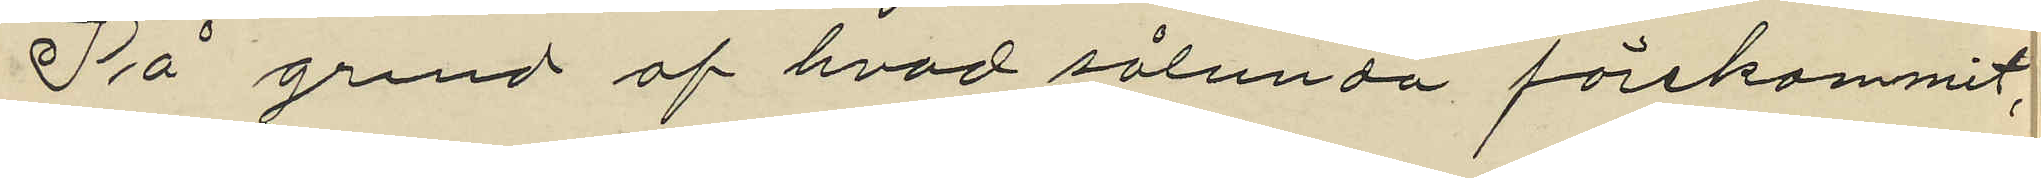På grund af hvad sålunda förekommit,
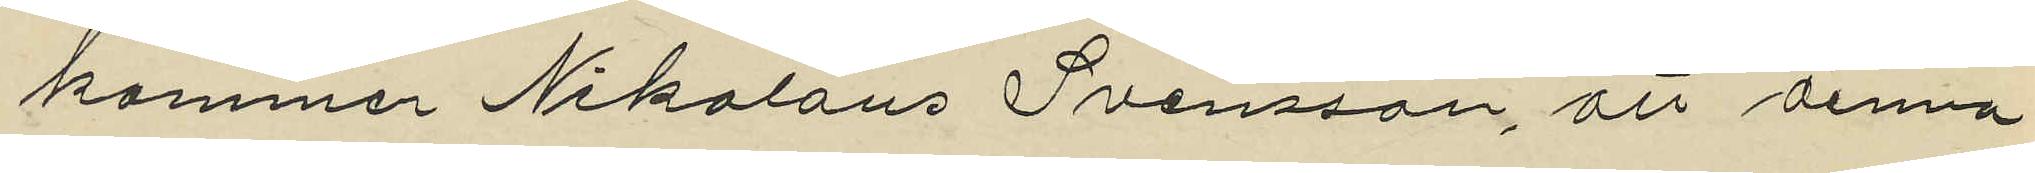kommer Nikolaus Svensson, att denna
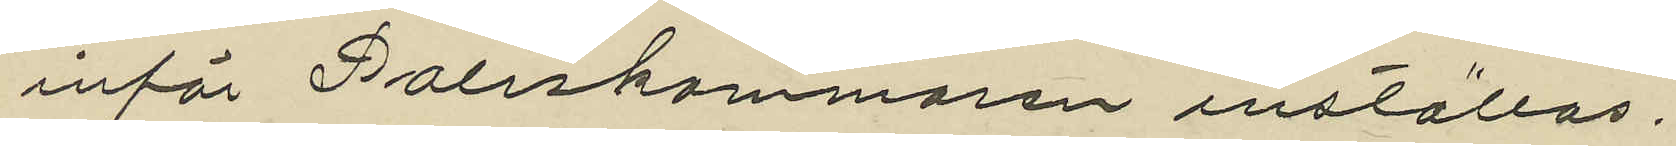inför Poliskammaren inställas.
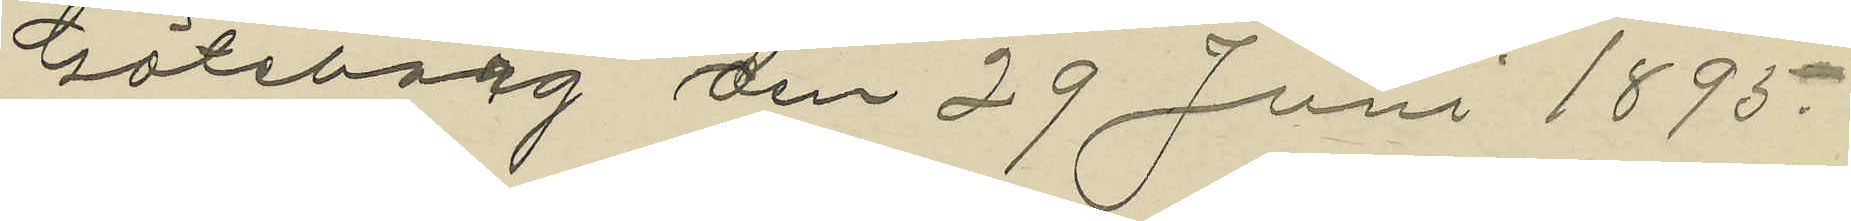Göteborg den 29 Juni 1895.
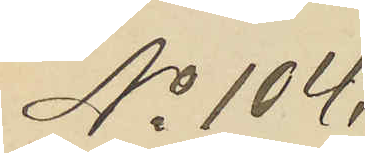No 104.
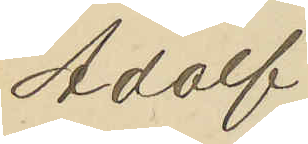Adolf
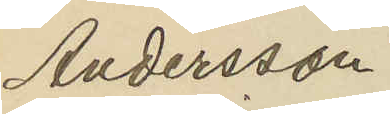Andersson
